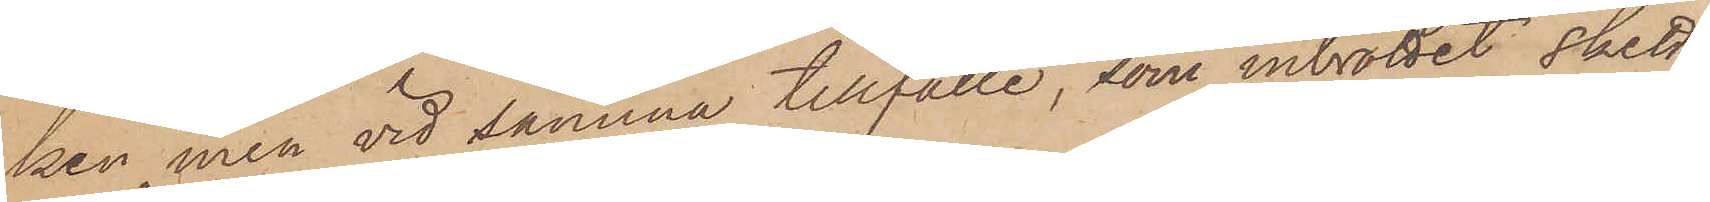ken, men vid samma tillfälle, som inbrottet skett,
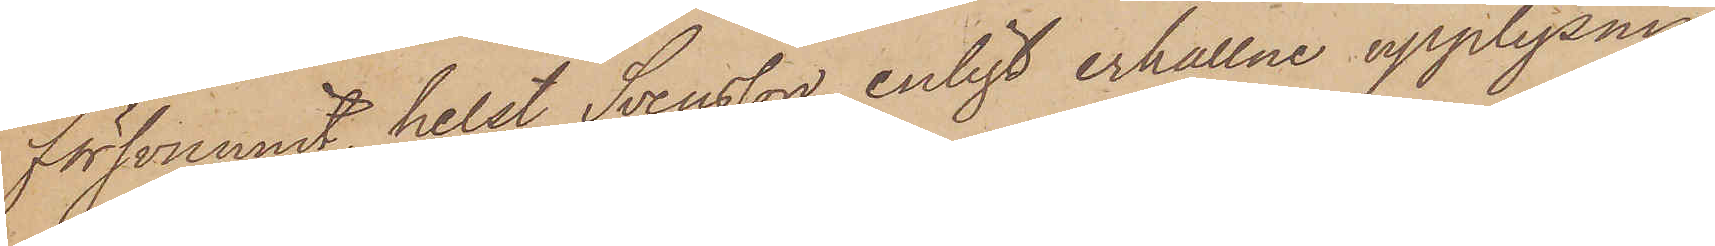försvunnit, helst Svensson, enligt erhållne upplysnin¬
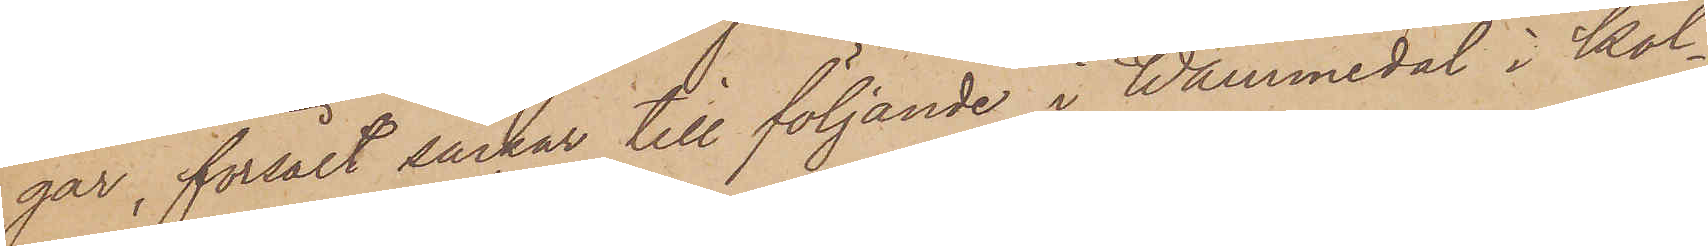gar, försålt säckar till följande i Wåmmedal i Kol¬
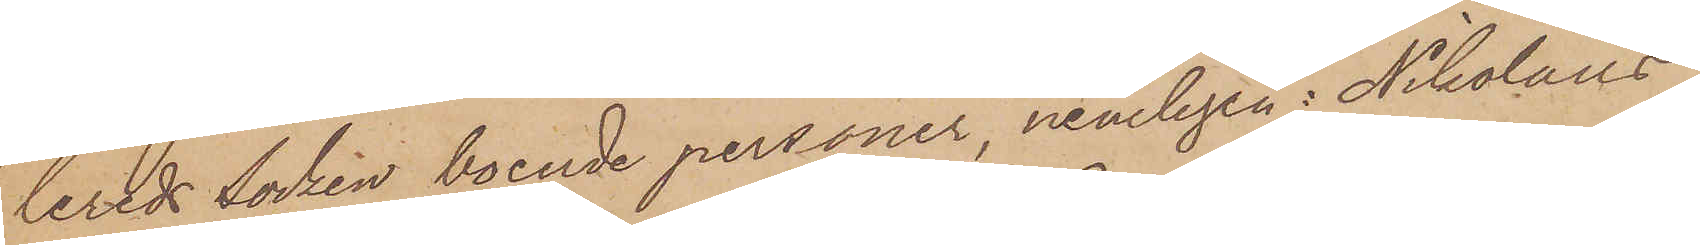lereds Socken boende personer, nemligen: Nikolaus
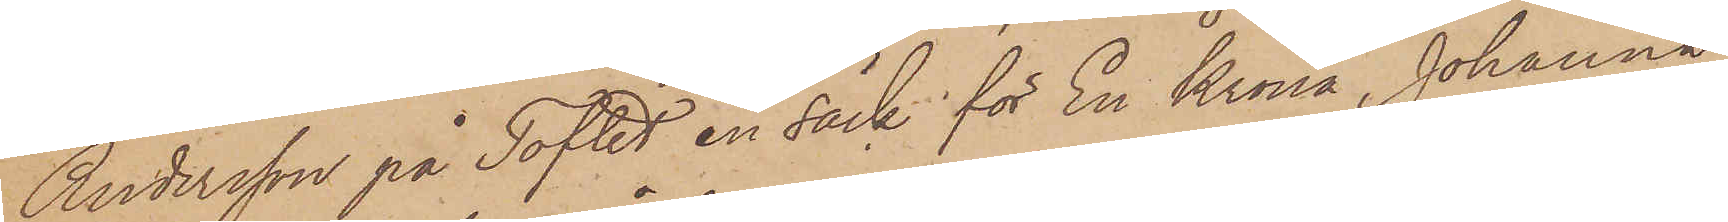Andersson på Toftet en säck för En Krona, Johanna
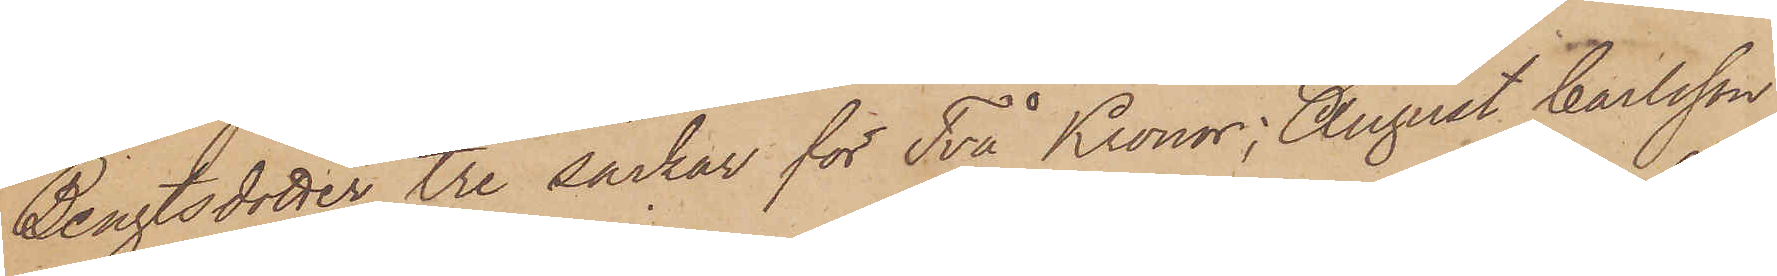Bengtsdotter tre säckar för Två Kronor, August Carlsson
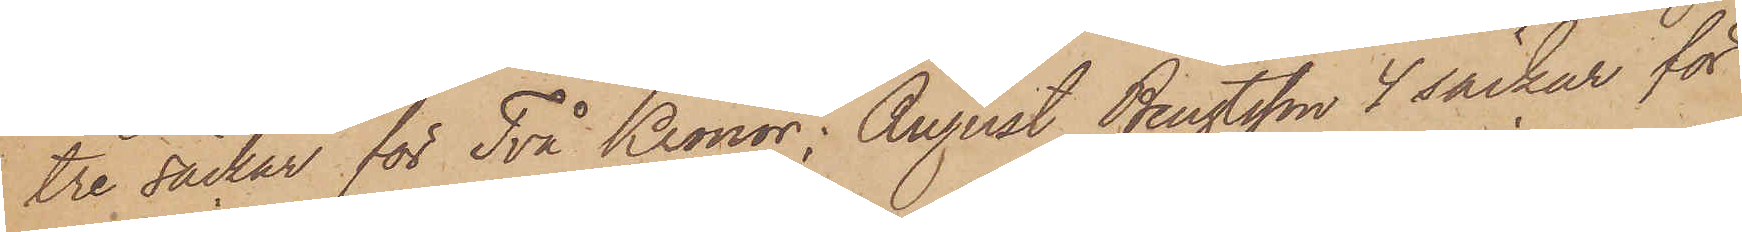tre säckar för Två Kronor; August Bengtsson 4 säckar för
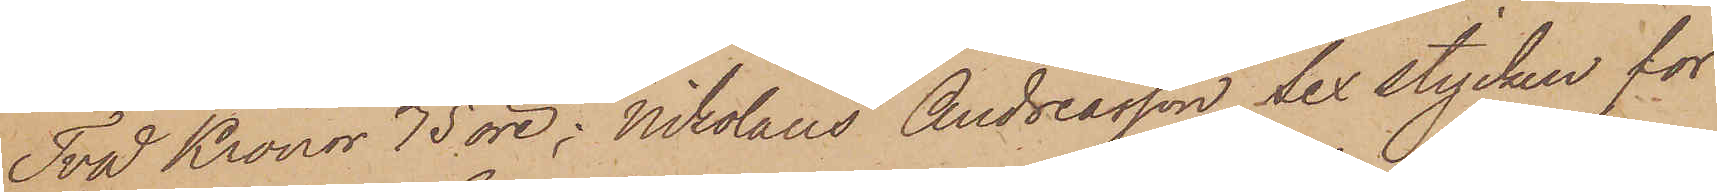Två Kronor 75 öre; Nikolaus Andreasson Sex stycken för
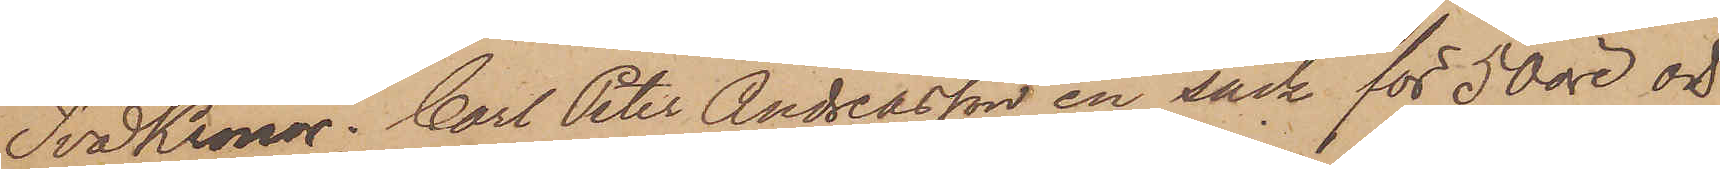Två Kronor; Carl Peter Andreasson en säck för 50 öre och
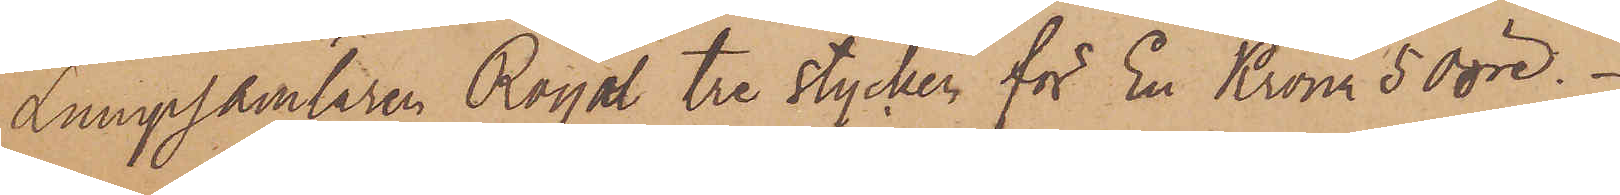Lumpsamlaren Royal tre stycken för En Krona 50 öre.
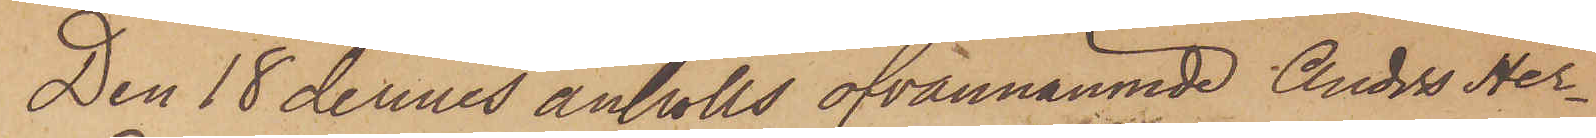Den 18 dennes anhölls ofvannämnde Anders Her¬
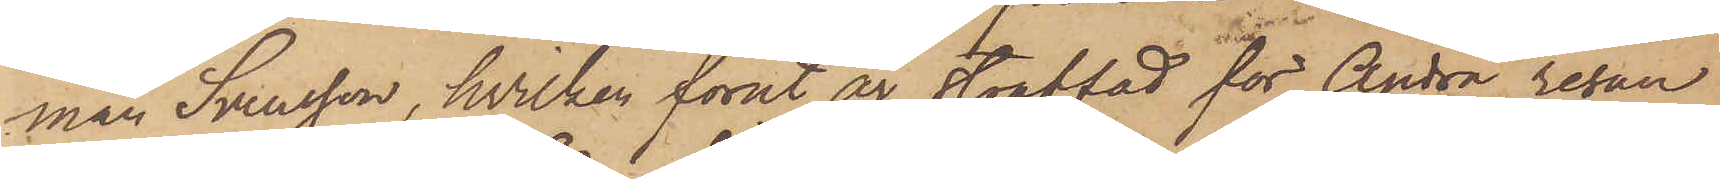man Svensson, hvilken förut är straffad för Andra resan
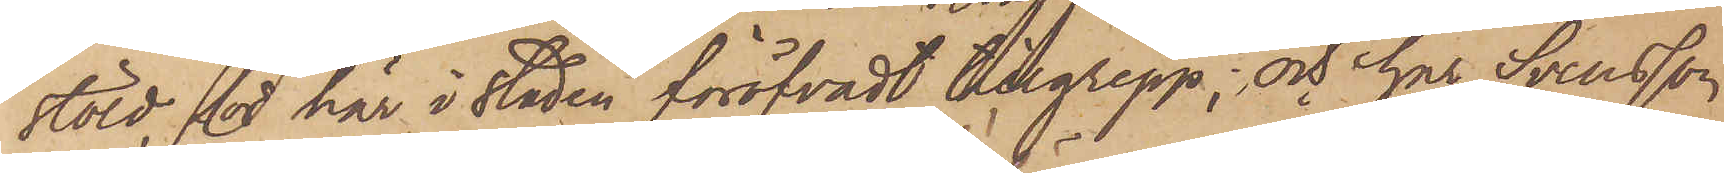stöld, för här i staden föröfvadt tillgrepp; och har Svensson
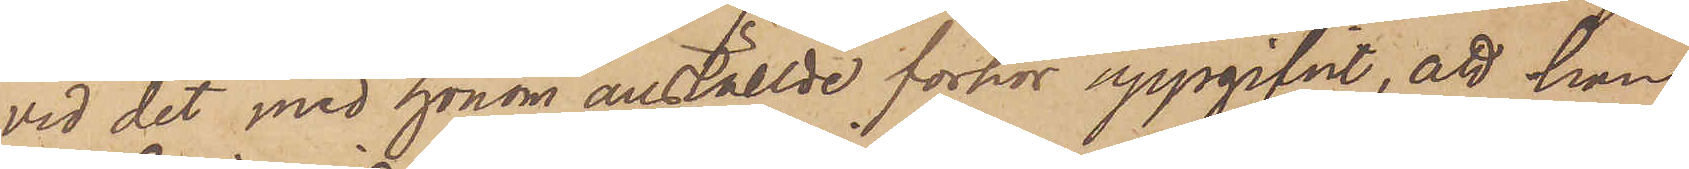vid det med honom anställde förhör uppgifvit, att han
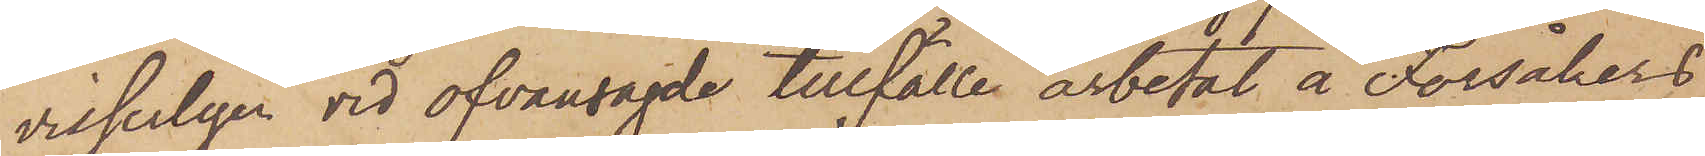visserligen vid ofvansagde tillfälle arbetat å Forsåkers
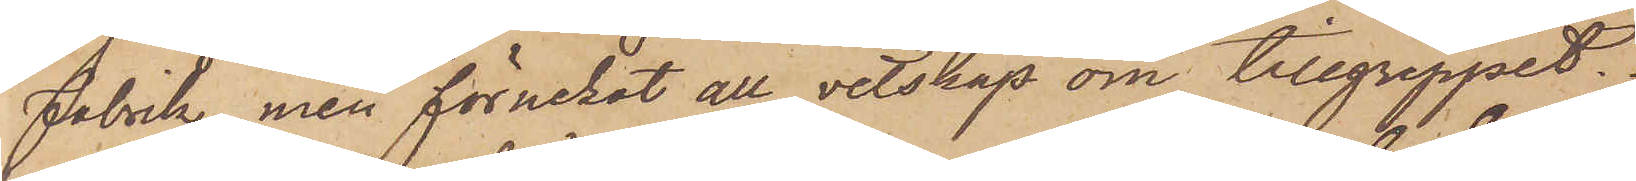Fabrik, men förnekat all vetskap om tillgreppet.
